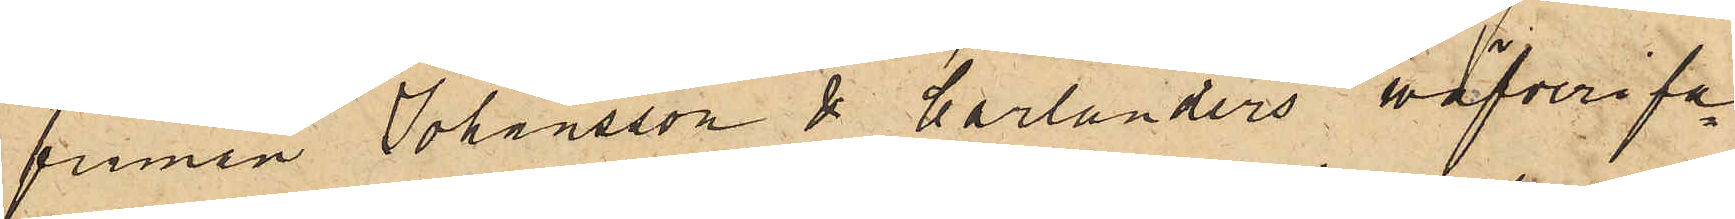firman Johansson & Carlanders väfverifa¬
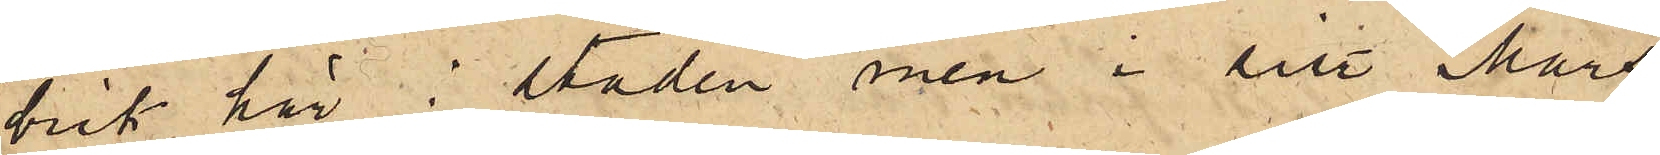brik här i staden, men i sist. Mars
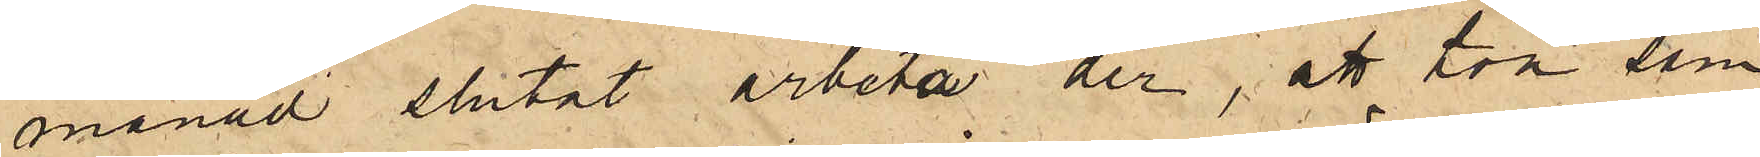månad slutat arbeta der, att hon som
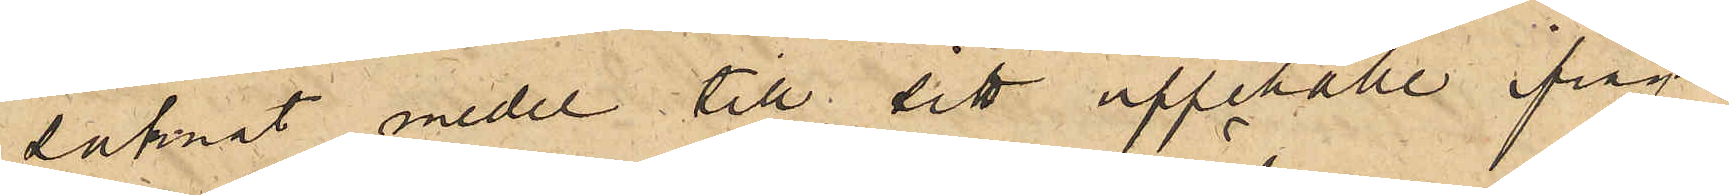saknat medel till sitt uppehälle ifråga¬
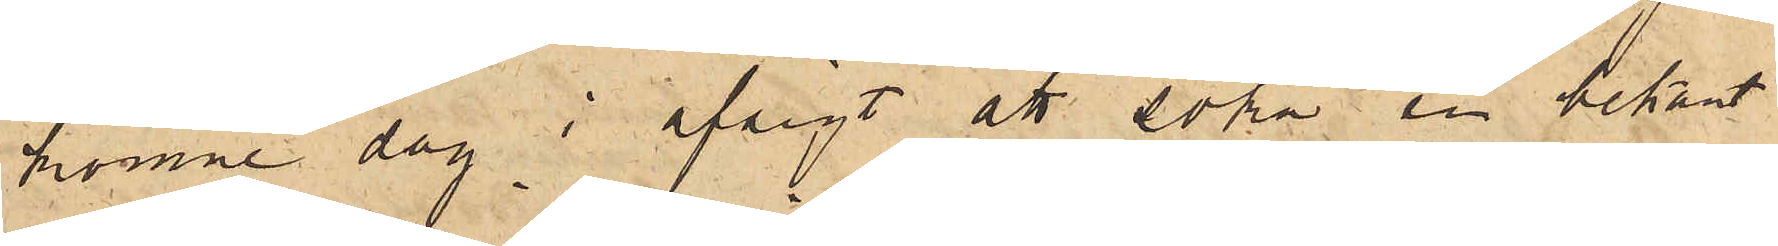komne dag i afsigt att söka en bekant
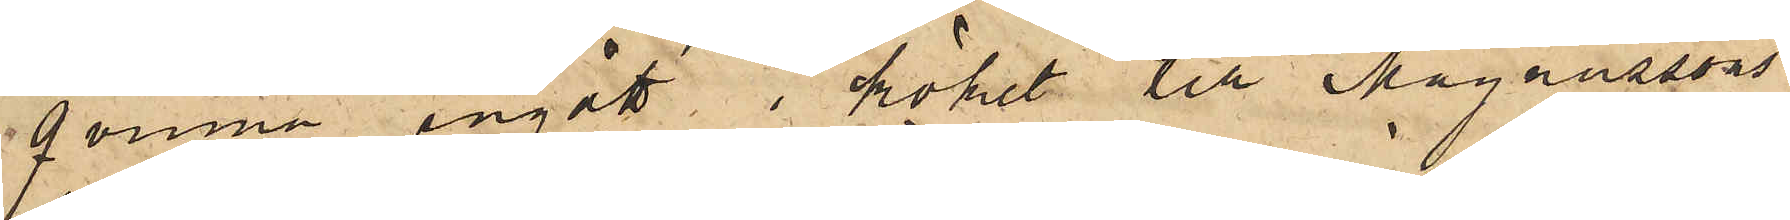qvinna ingått i köket till Magnussons
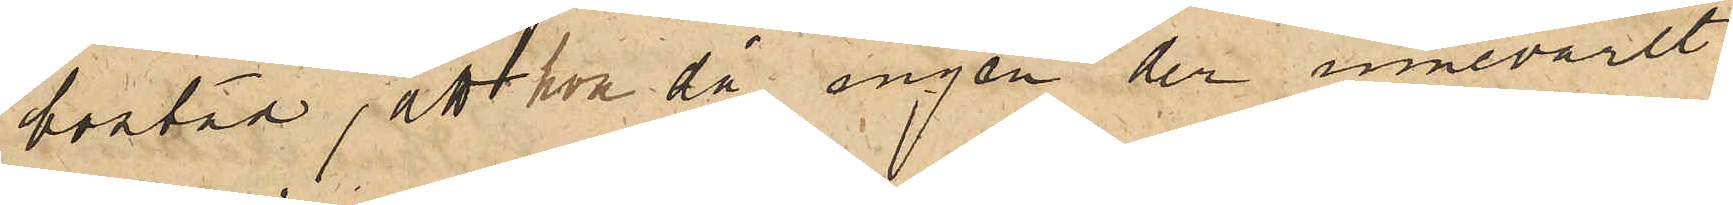bostad, att hon då ingen der innevarit
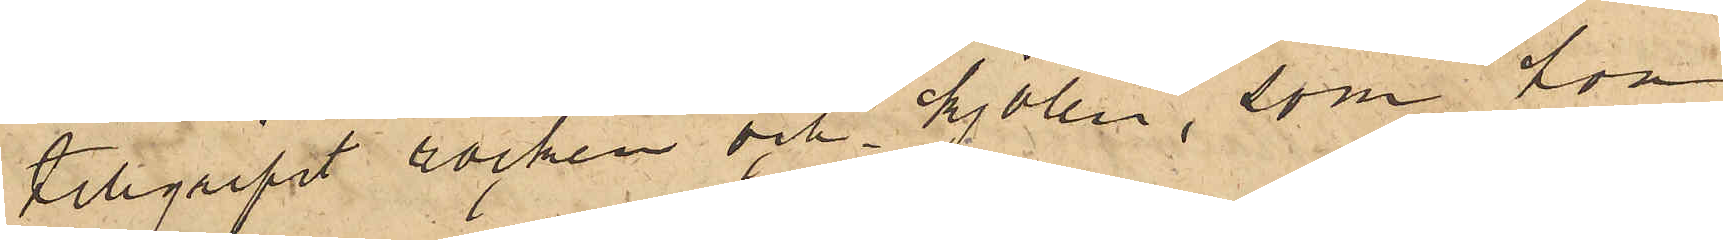tillgripit rocken och kjolen, som hon
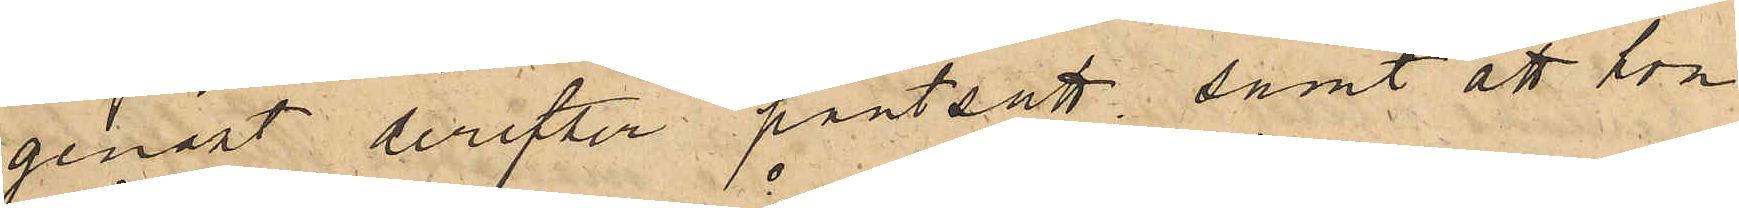genast derefter pantsatt; samt att hon
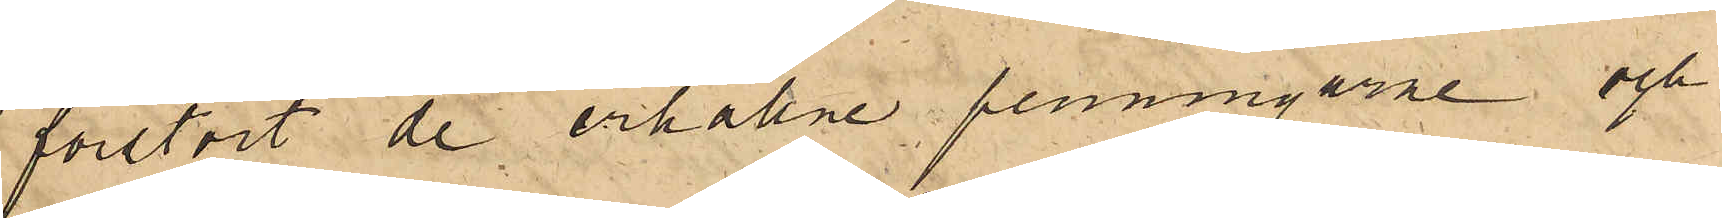förstört de erhållne penningarne och
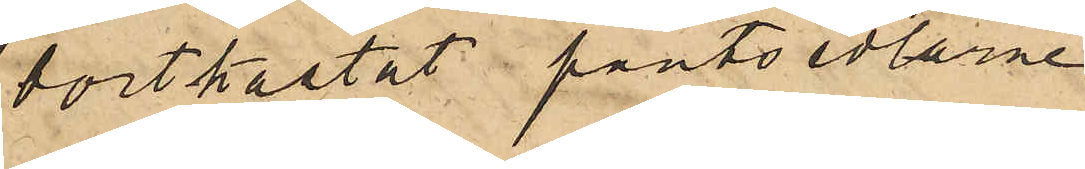bortkastat pantsedlarne.
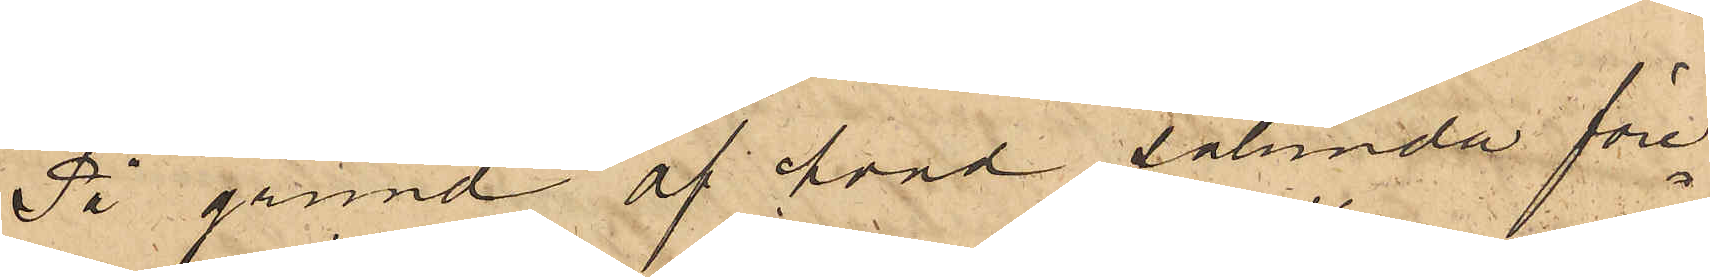På grund af hvad sålunda före¬
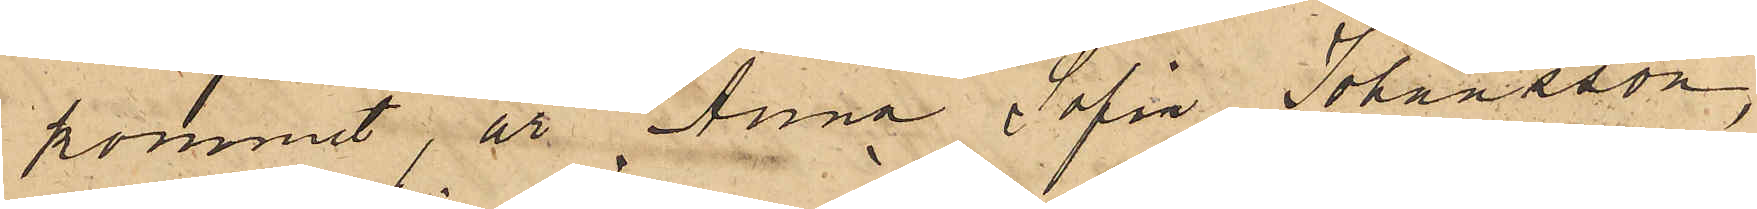kommit, är Anna Sofia Johansson
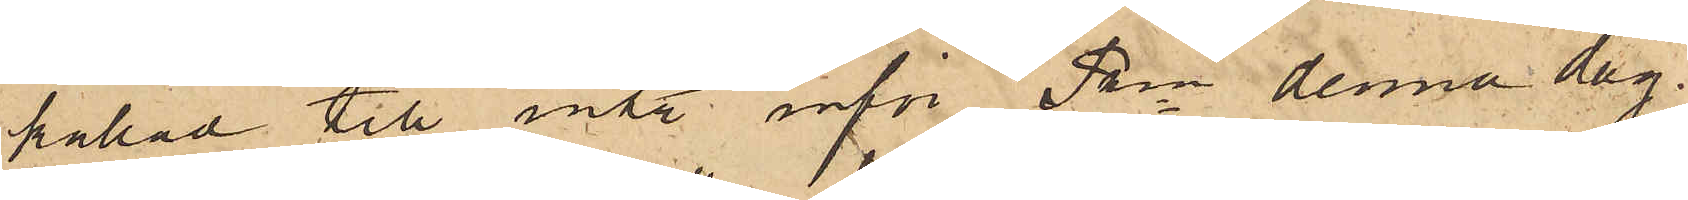kallad till inst inför Pkn denna dag.
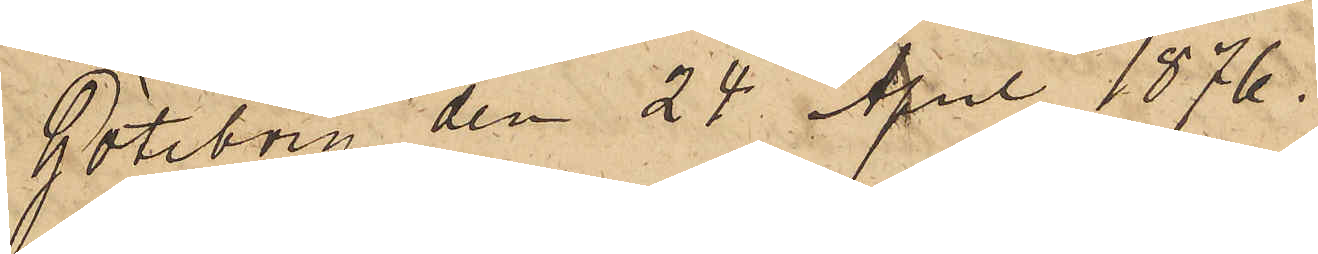Göteborg den 24 April 1876.
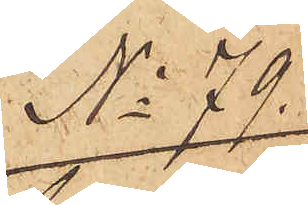No 79
